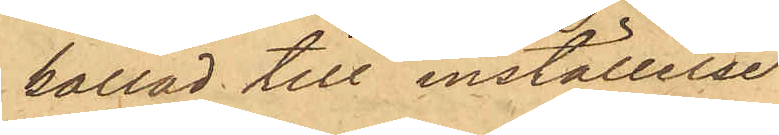kallad till inställelse
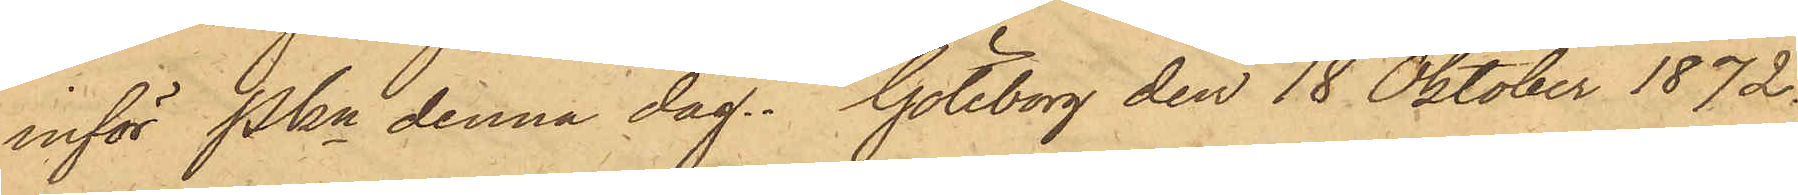inför Pkn denna dag. Göteborg den 18 Oktober 1872.
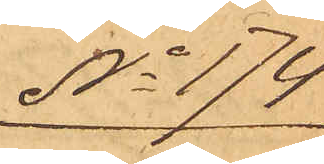No 174
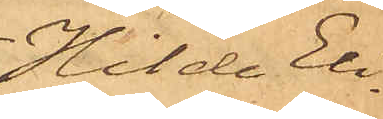Hilda Eli¬
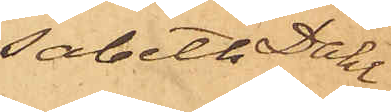sabeth Dahl
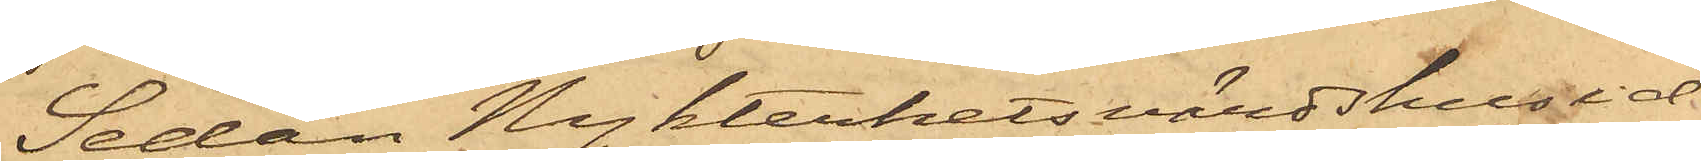Sedan Nykterhetsvärdshusid¬
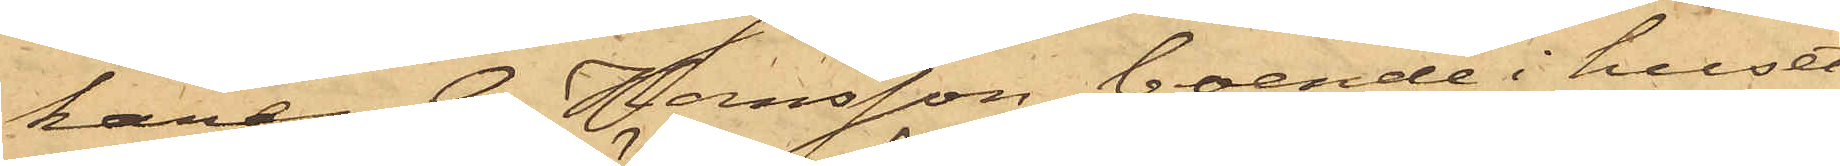karen G. Hansson, boende i huset
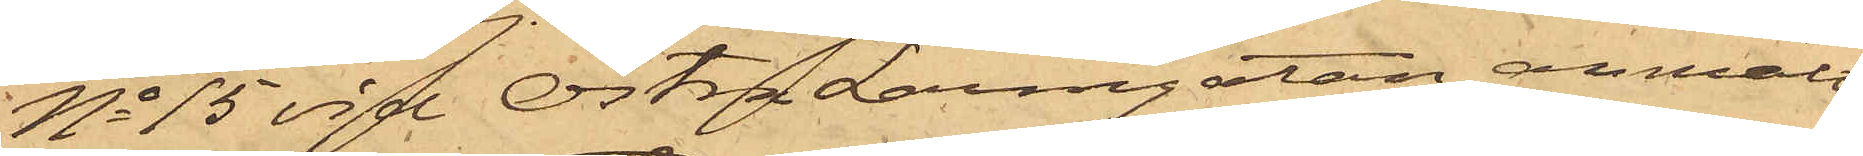No 15 vid Östra Larmgatan, anmält
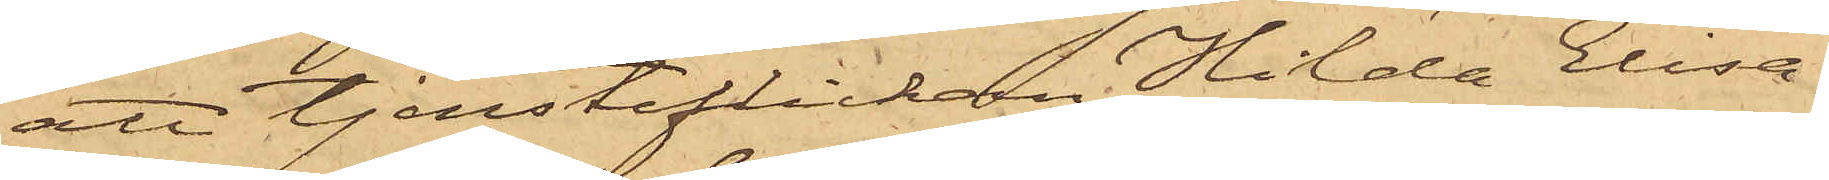att tjensteflickan Hilda Elisa¬
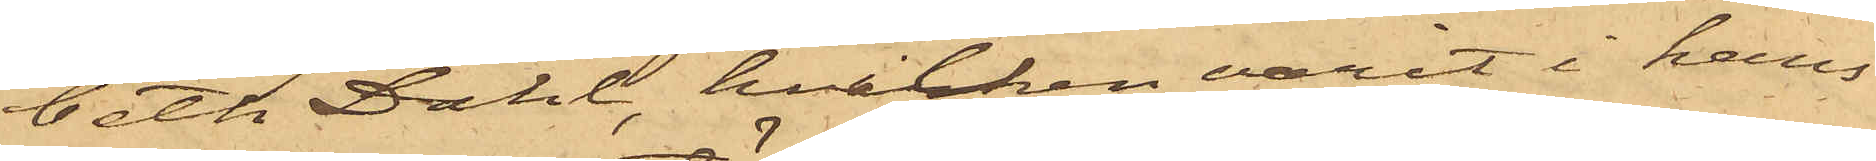beth Dahl, hvilken varit i hans
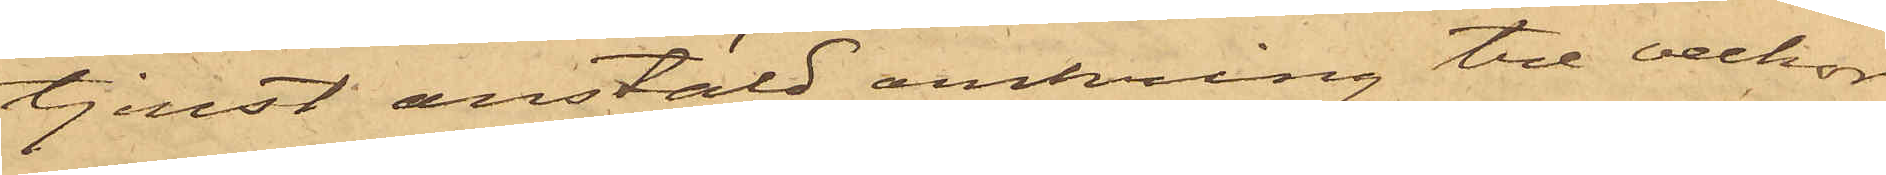tjenst anstäld omkring tre veckor
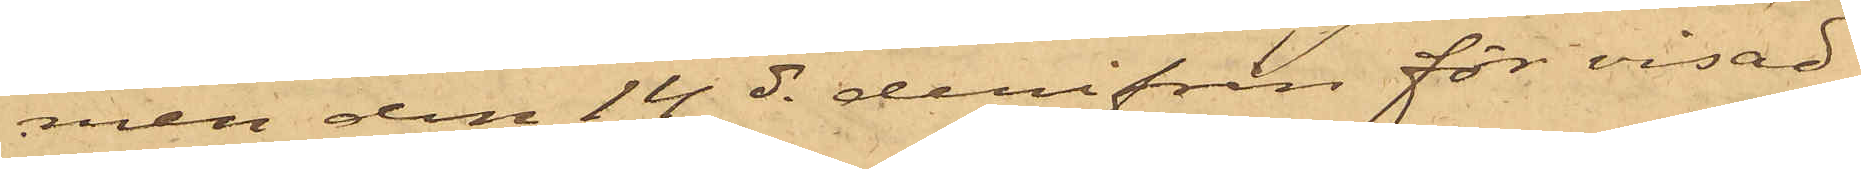men den 14 ds derifrån för visad
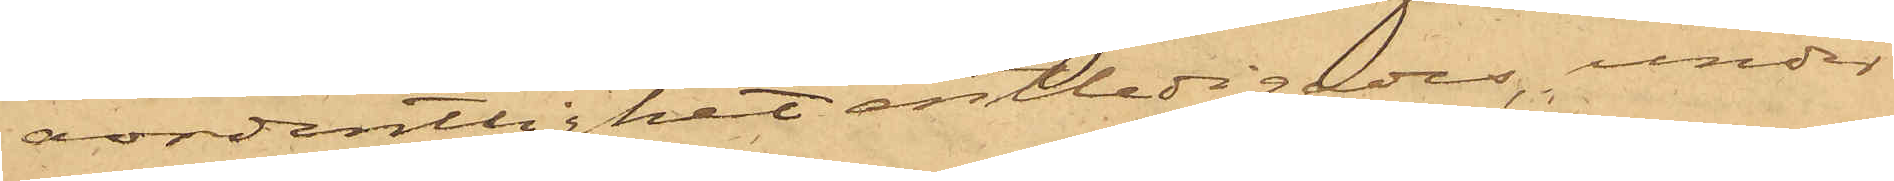ordentlighet entledigades, under
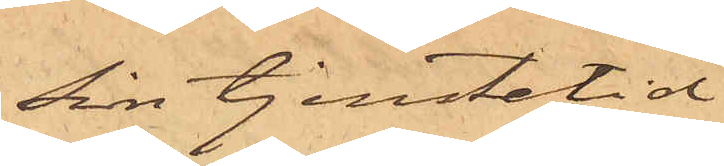sin tjenstetid
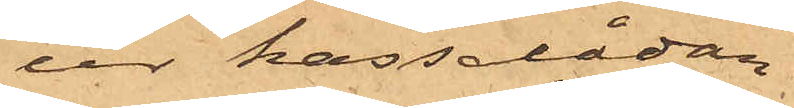ur kassalådan
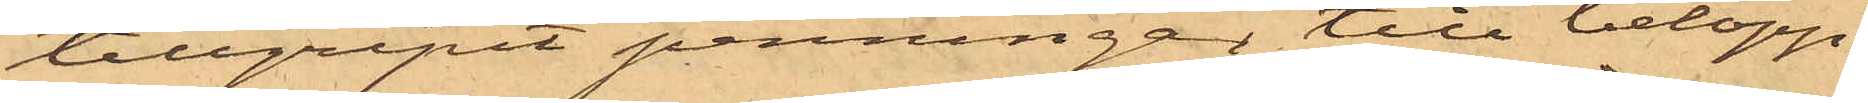tillgripit penningar till belopp,
